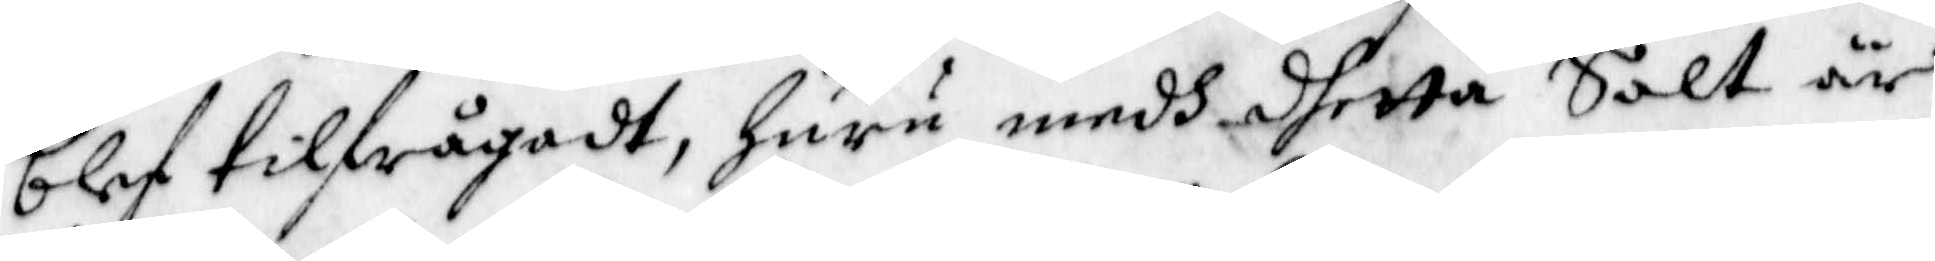blef tilfrågadt, Huru medh dhetta Salt är
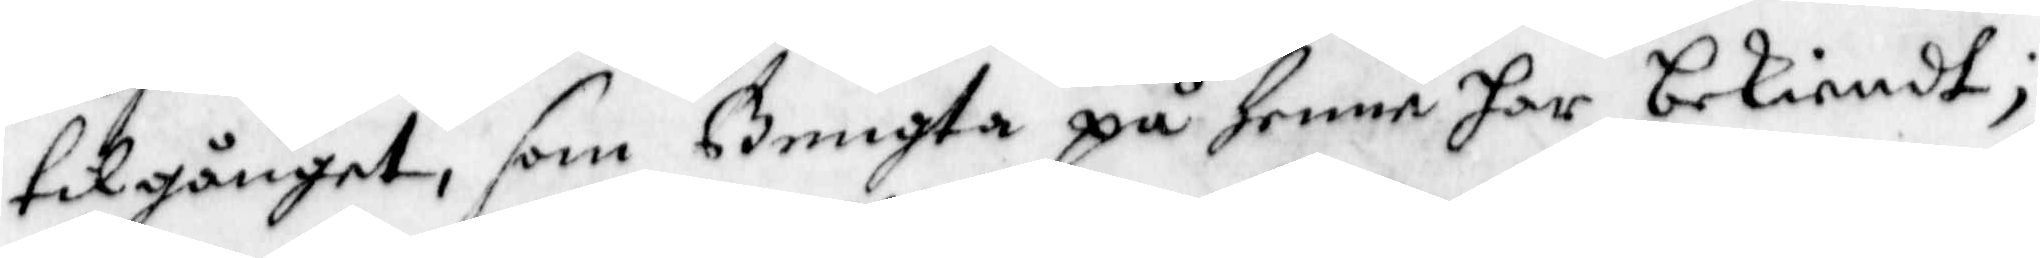tilgånget, som Bengta på henne har bekiendt;
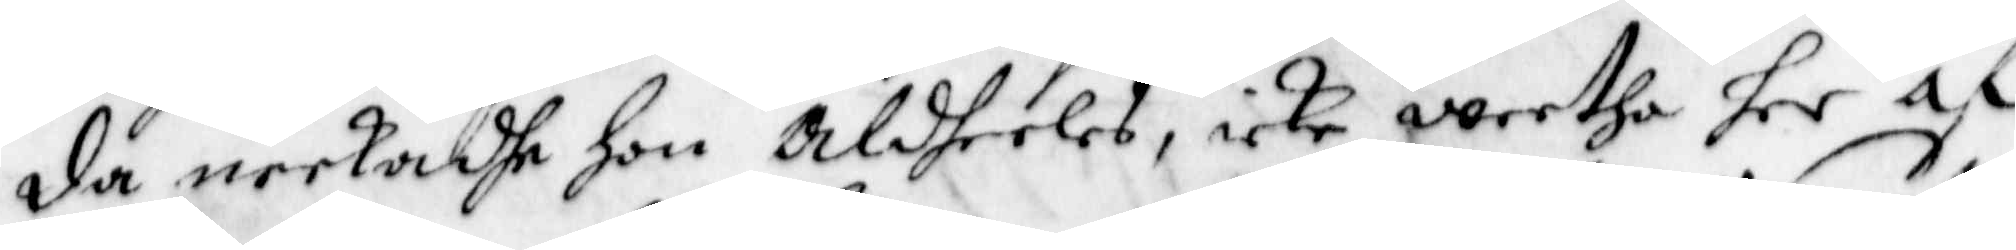da neekadhe hon aldeles, icke weetha her af
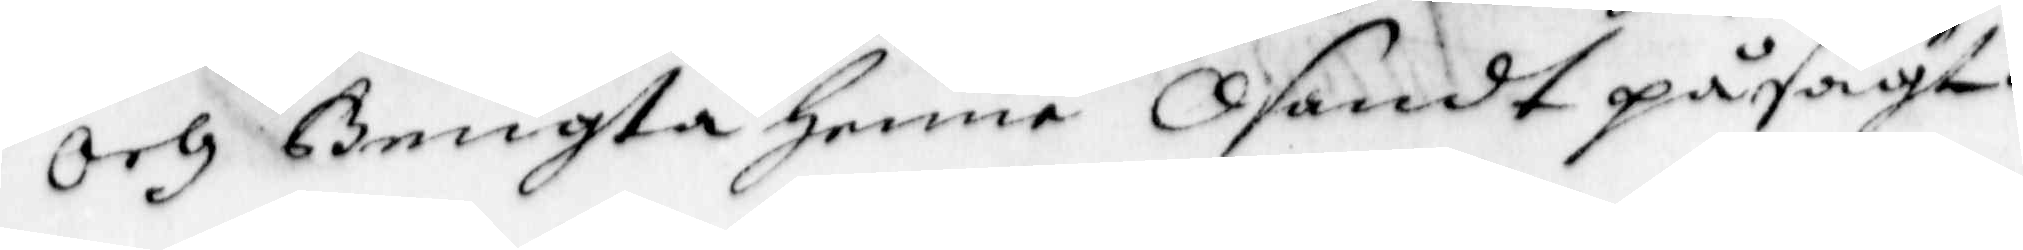Och Bengta Henne Osandt påsagt.
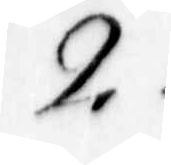2.
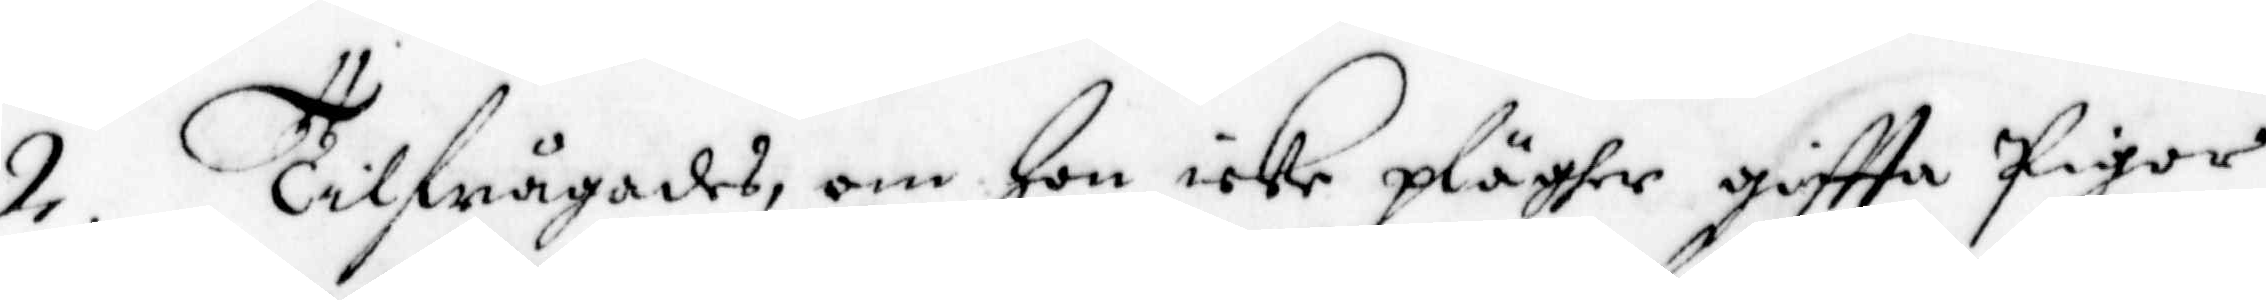2. Tilfrågades, om Hon icke pläger giffta Pigor,
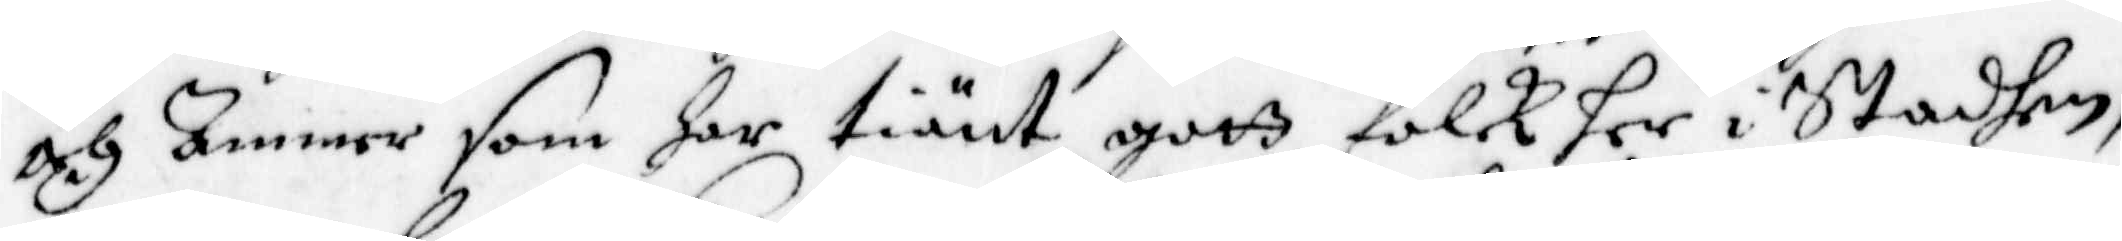och Ammer som har tiänt gott folk her i Staden,
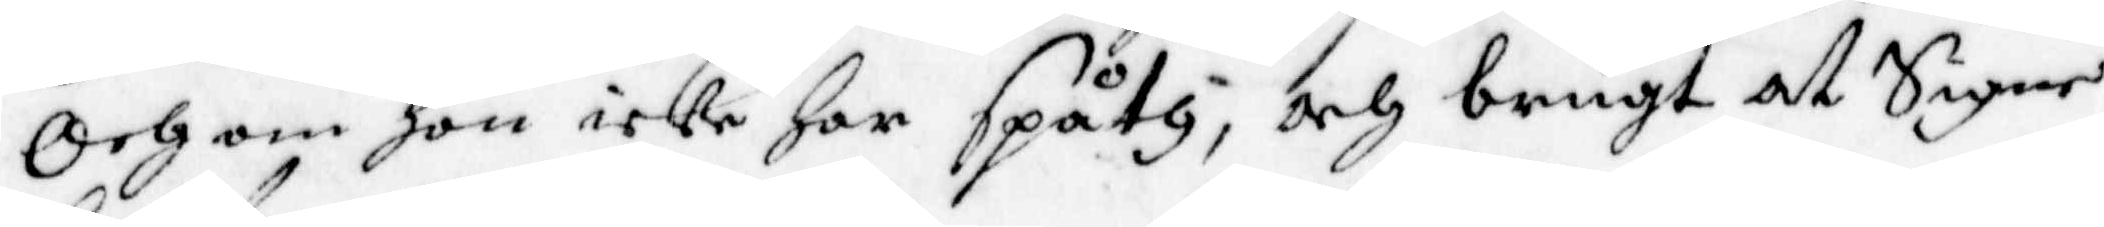Och om hon icke har Spåth, och brugt at Signe
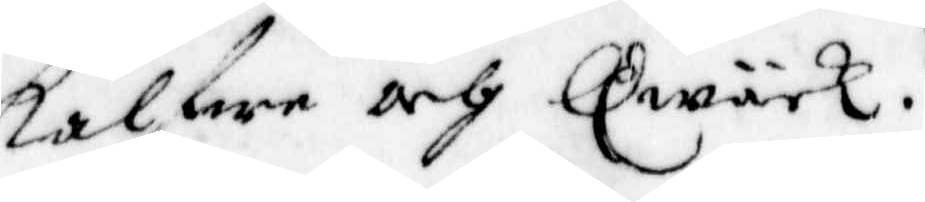kalfwe och Qwäck.
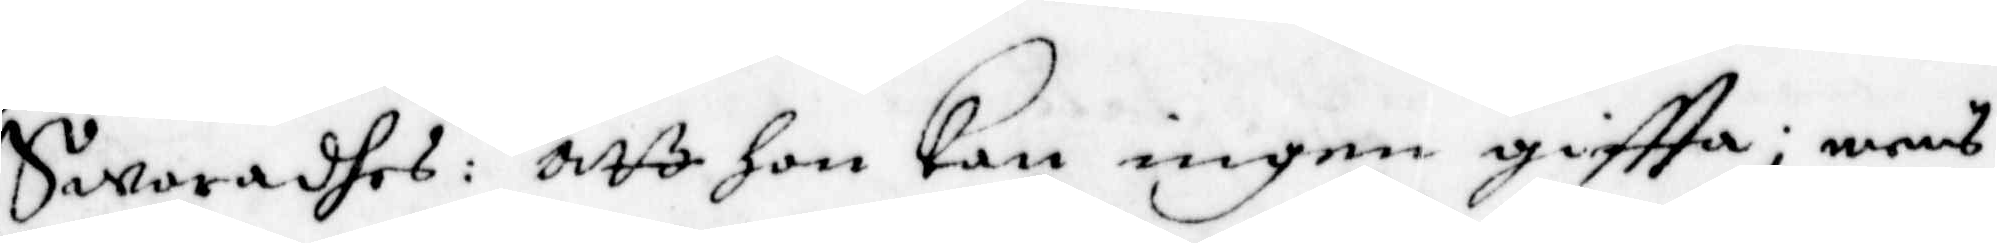Swaradhes: att hon kan ingen giftta; mens
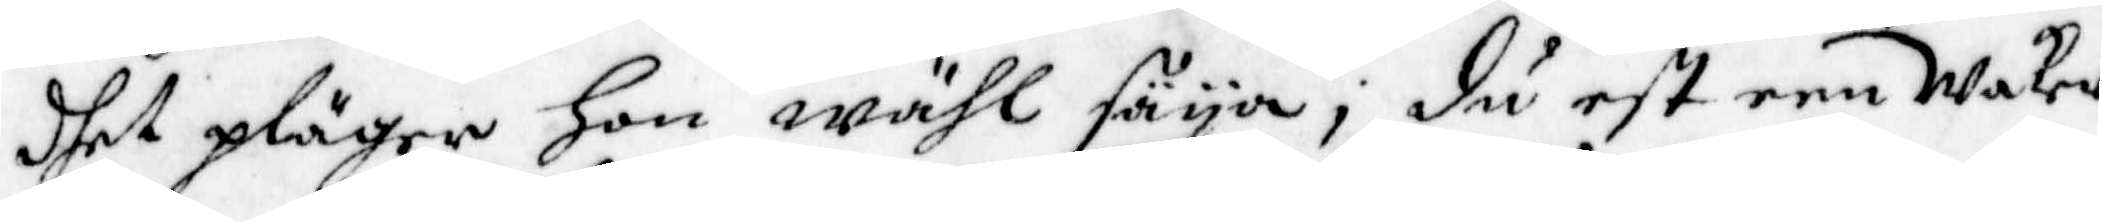dhet pläger Hon wähl säya; du est een Waker
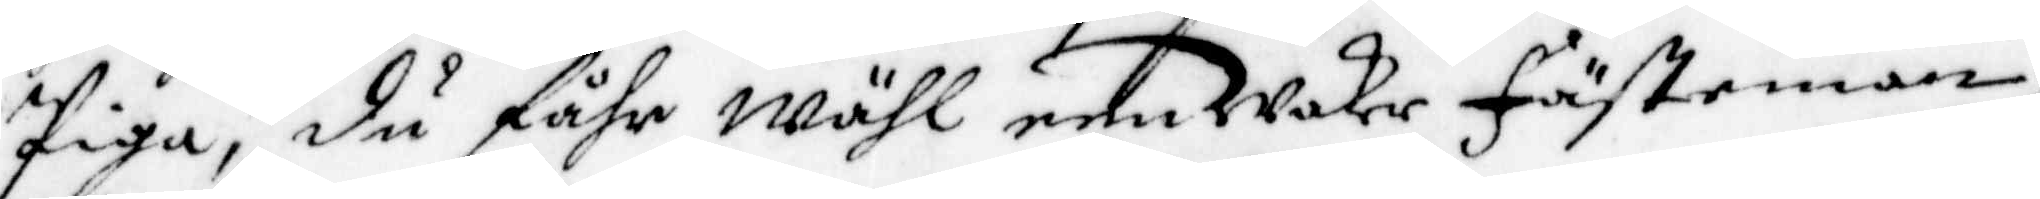Piga, du fåhr wähl een waker fästeman,
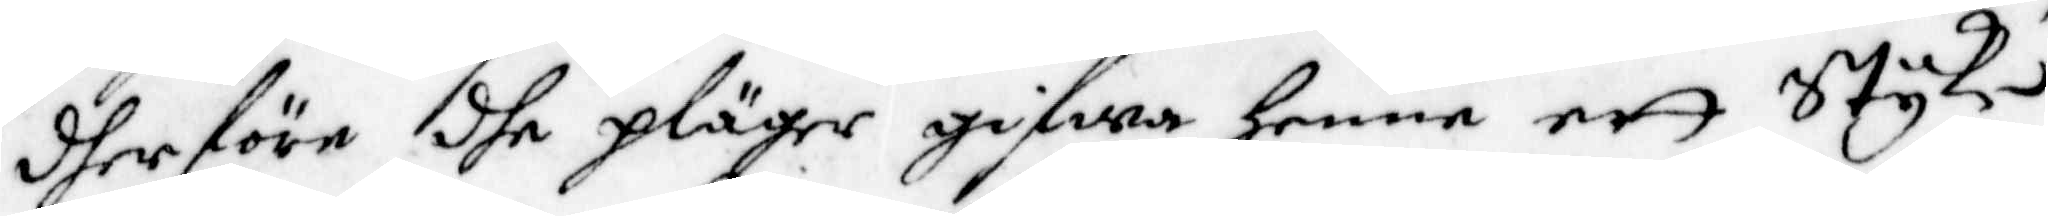dherföre dhe pläger gifwa henne ett Styke,
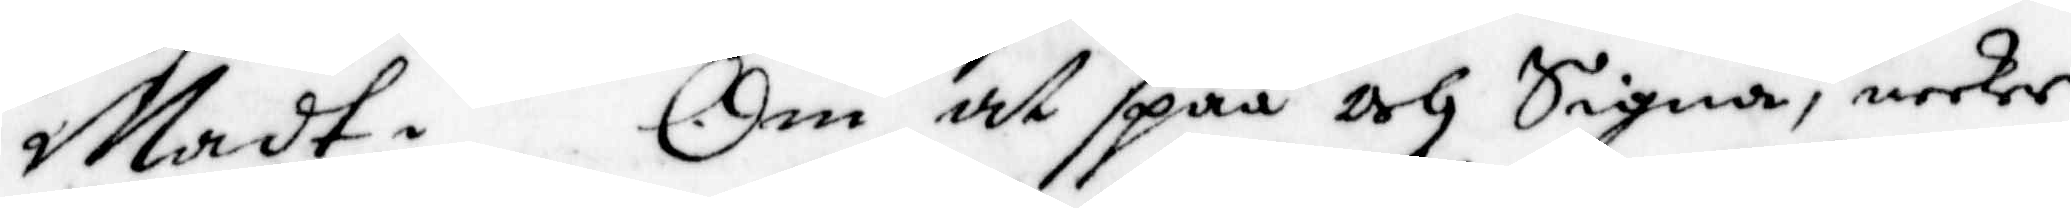Madt. Om at spåå och Signa, neker
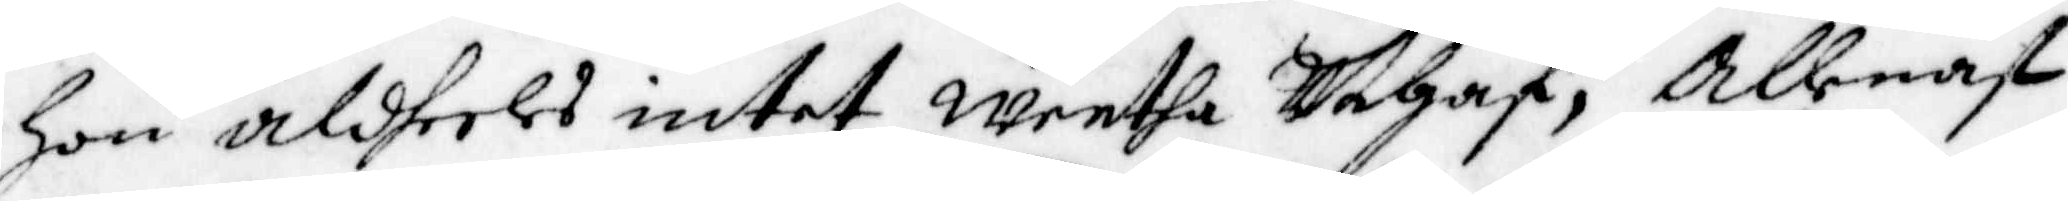Hon aldheles intet weetha Uthaf, Allenast
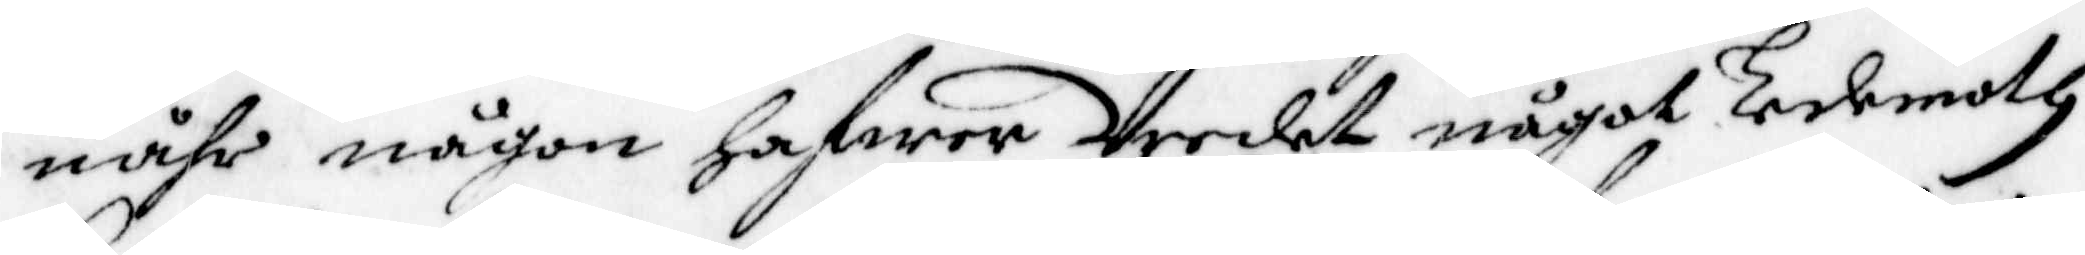nåhr någon hafwer Vredet något Ledemoth
